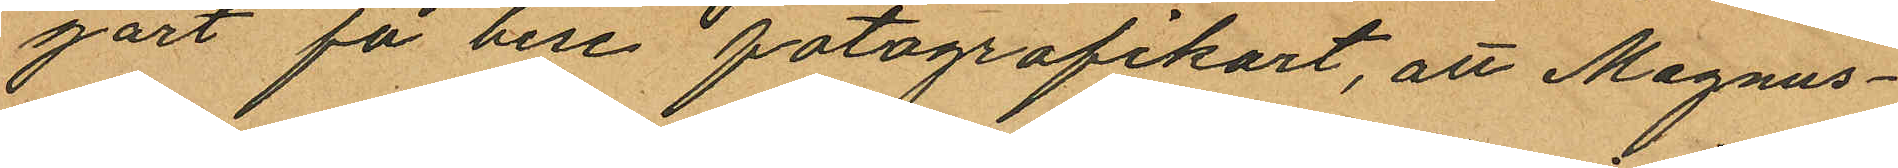gärt få bese fotografikort, att Magnus¬
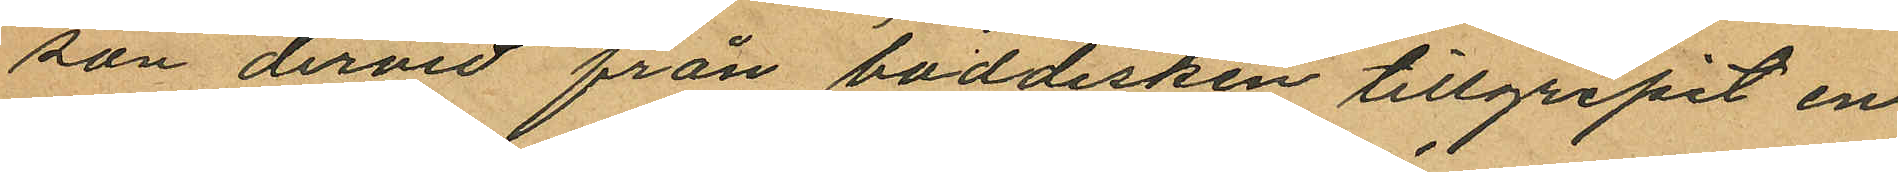son dervid från boddisken tillgripit en
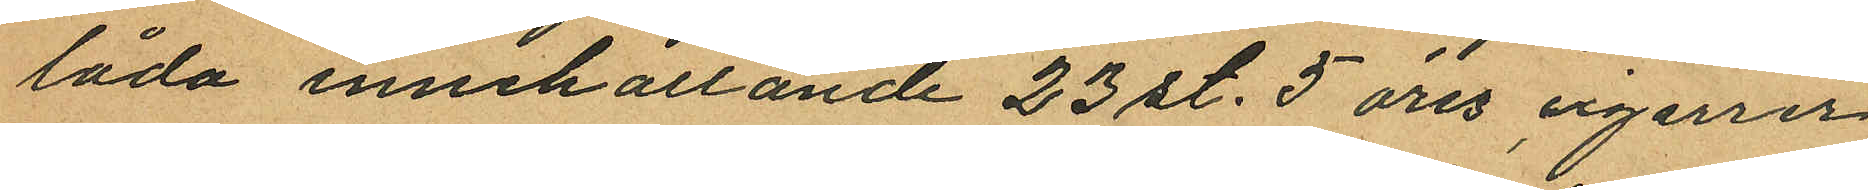låda innehållande 23 st. 5 öres cigarrer
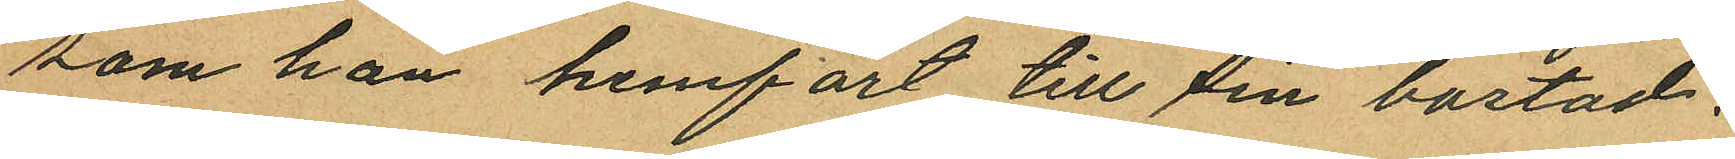som han hemfört till sin bostad.
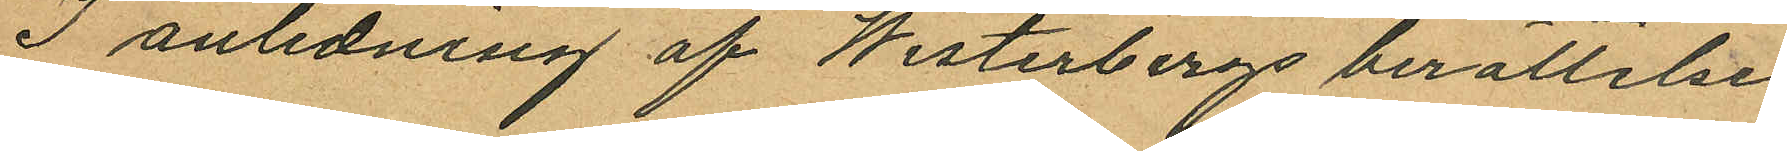I anledning af Westerbergs berättelse
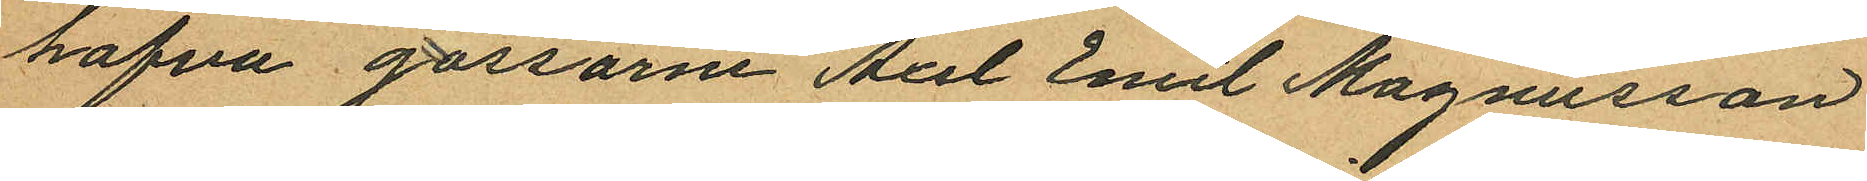hafva gossarne Axel Emil Magnusson
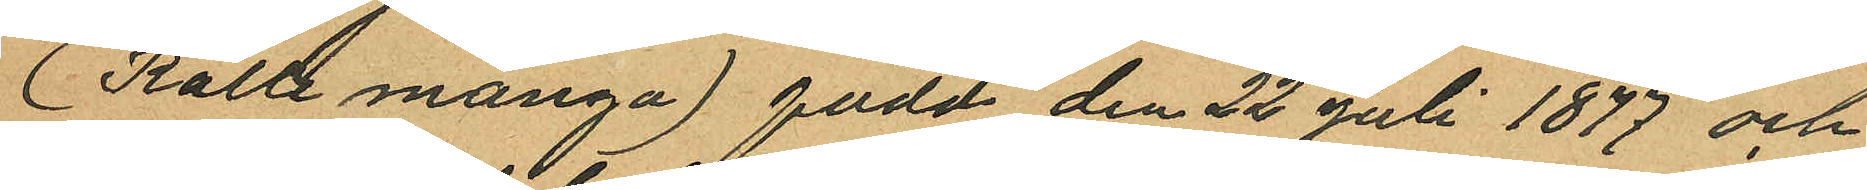(Kalle många) född den 22 juli 1877 och
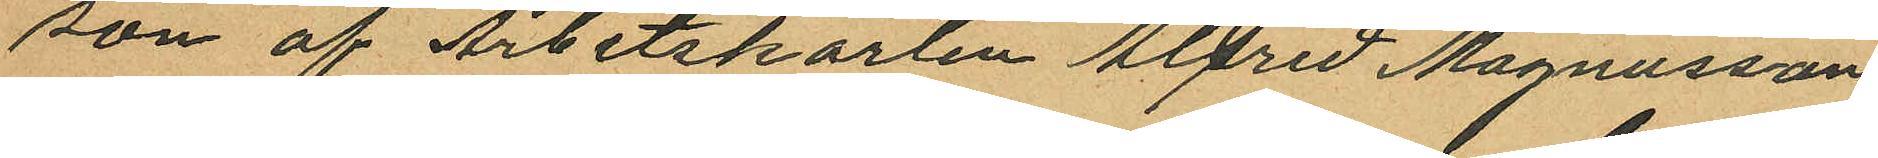son af Arbetskarlen Alfred Magnusson
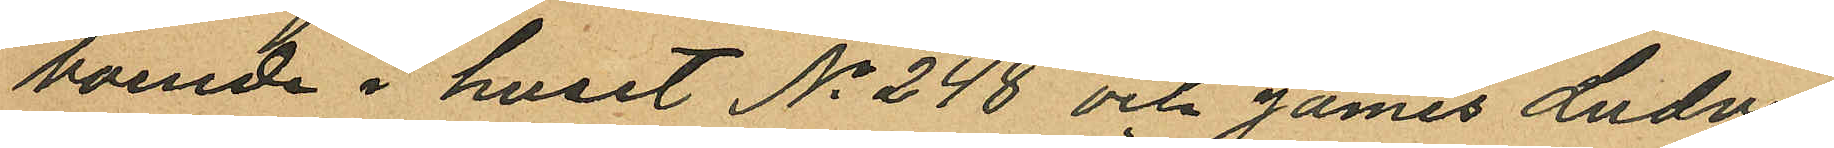boende i huset No 248 och James Ludvig
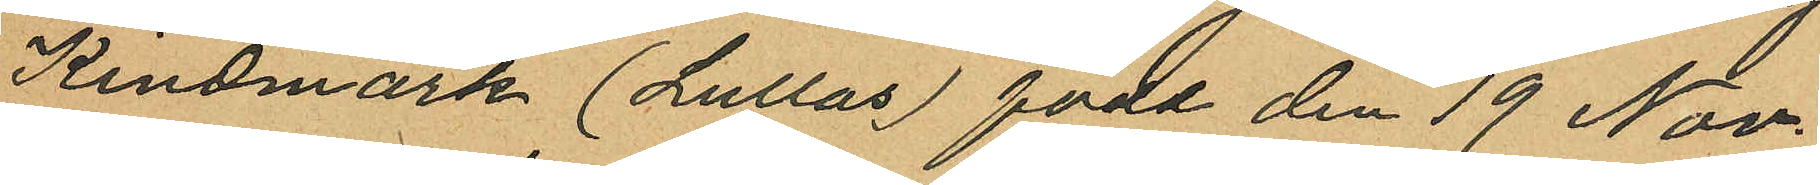Kindmark (Lullas) född den 19 Nov.
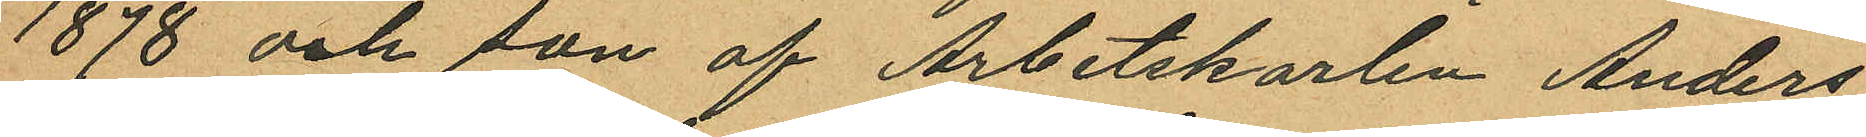1878 och son af Arbetskarlen Anders
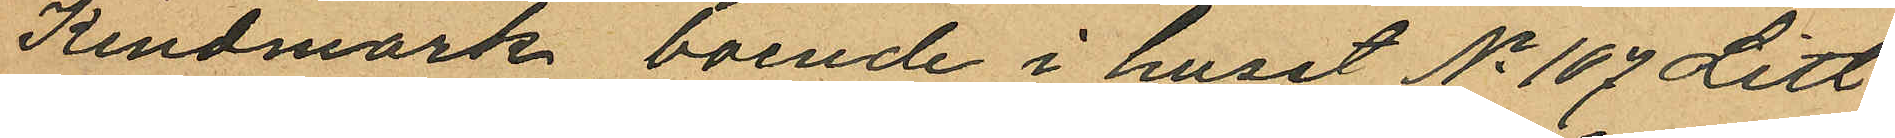Kindmark boende i huset No 107 Litt:
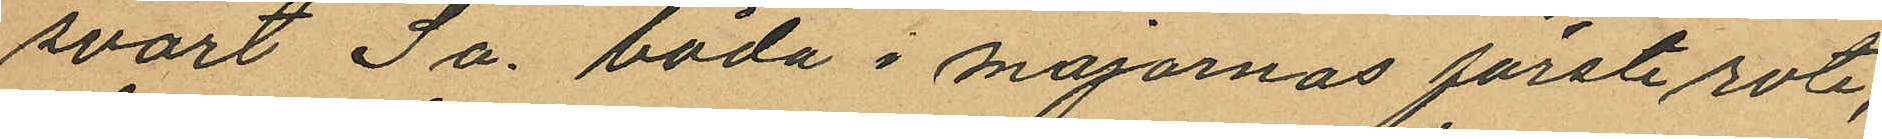svart Sa. båda i majornas förste rote,
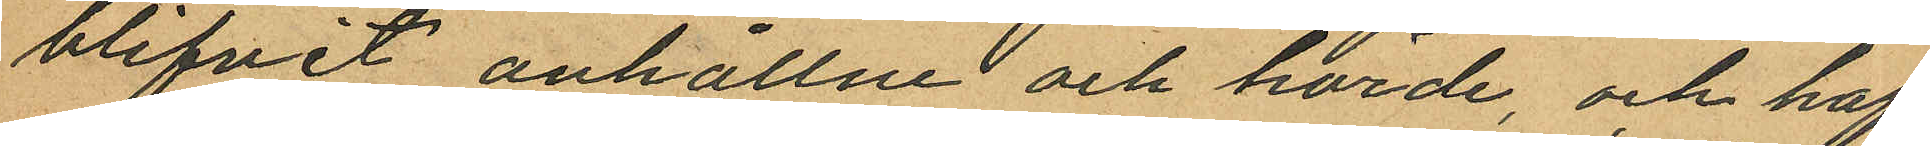blifvit anhållne och hörde, och haf¬
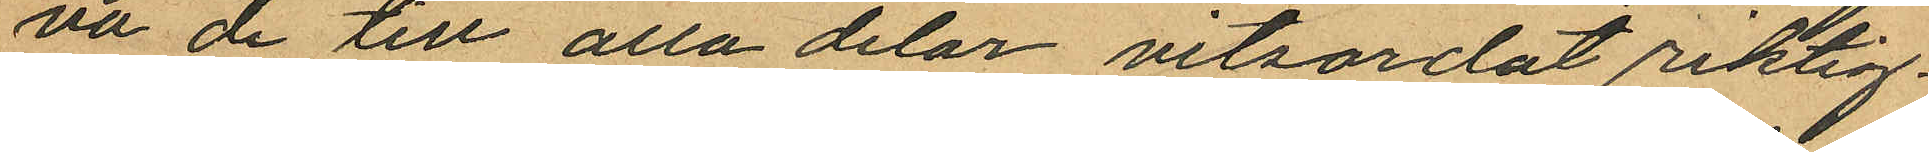va de till alla delar vitsordat riktig¬
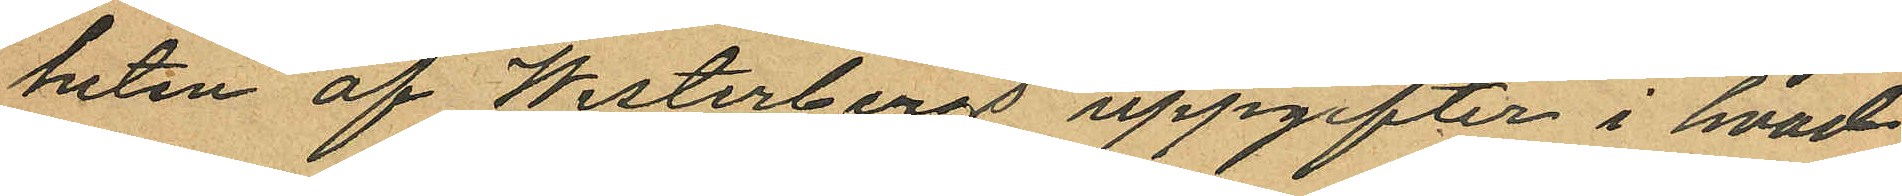heten af Westerbergs uppgifter i hvad
